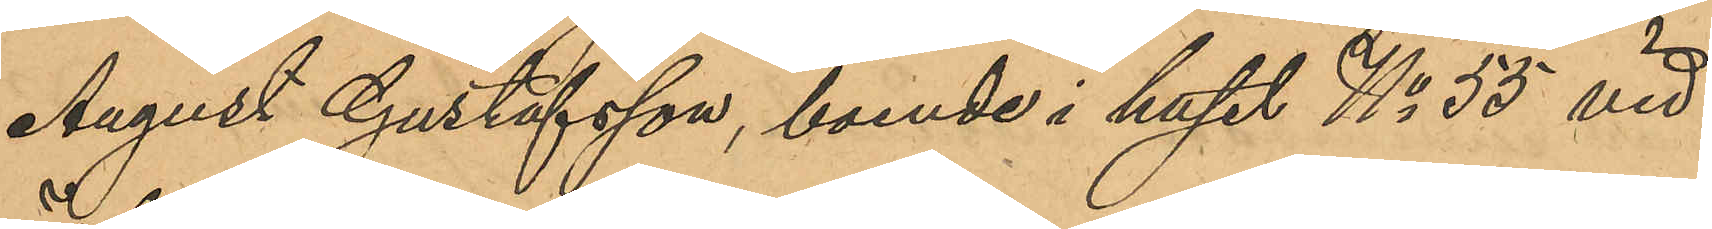August Gustafsson, boende i huset No 55 vid
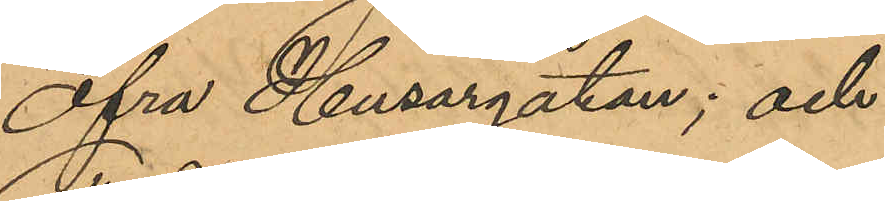Öfra Husargatan; och
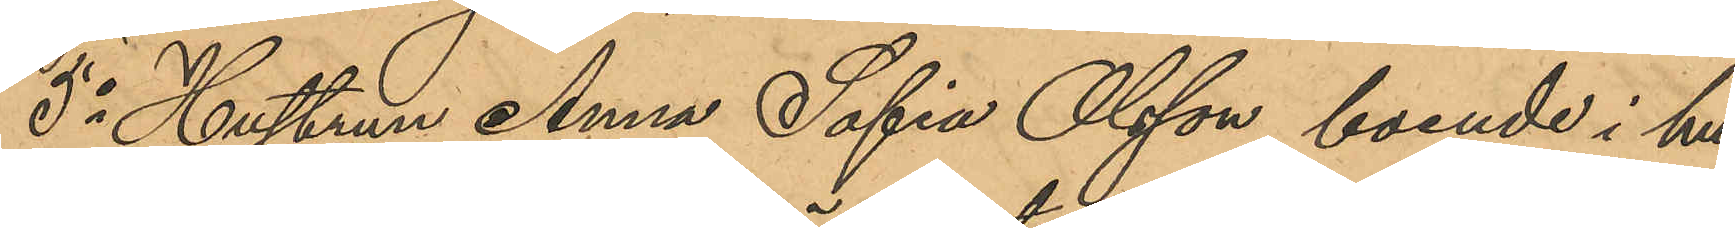5o Hustrun Anna Sofia Olsson, boende i hu¬
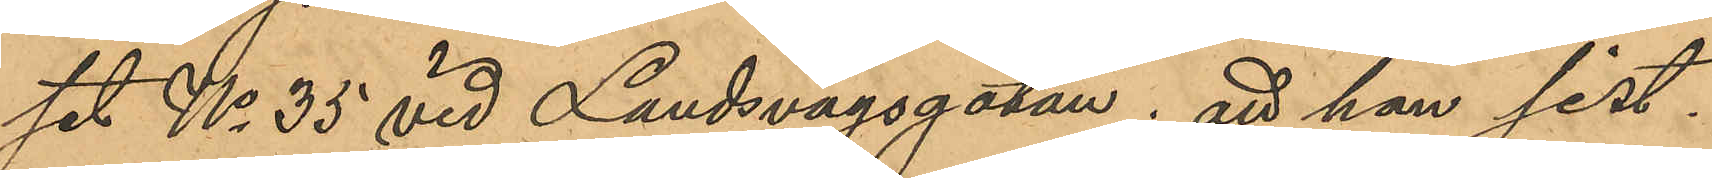set No 35 vid Landsvägsgatan; att hon sist¬
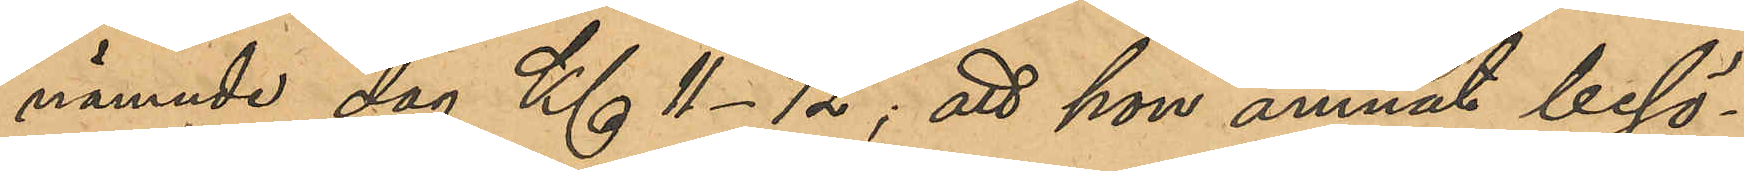nämnde dag Kl 11-12; att hon ämnat besö¬
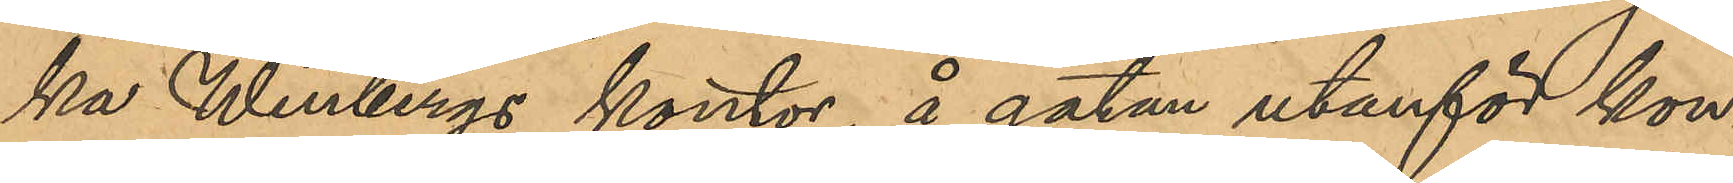ka Winbergs kontor, å gatan utanför kon¬
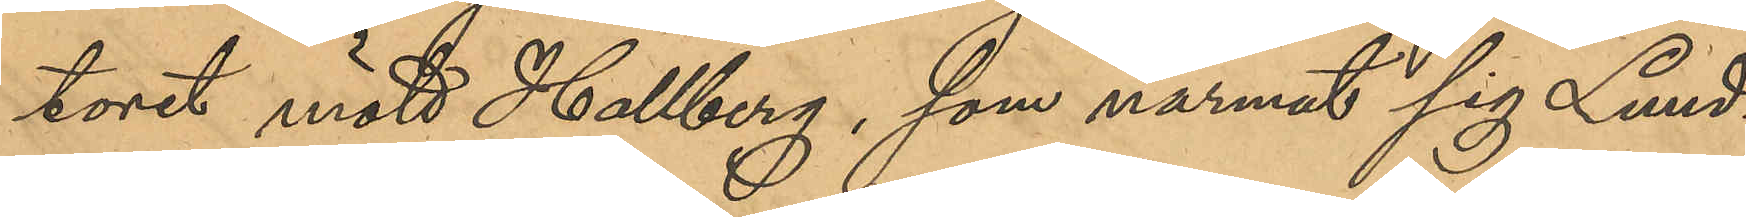toret mött Hallberg, som närmat sig Lund¬
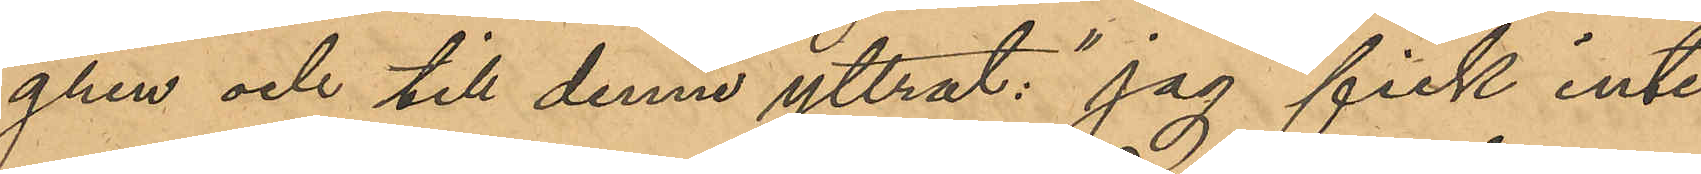gren och till denne yttrat: "jag fick inte
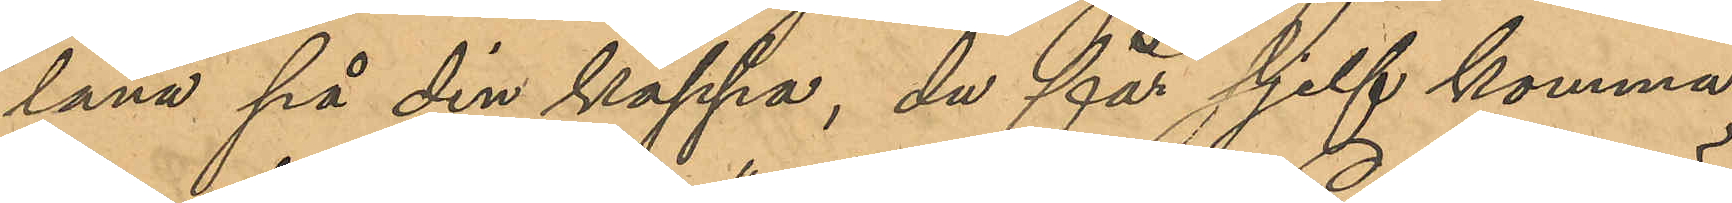låna på din kappa, du får sjelf komma
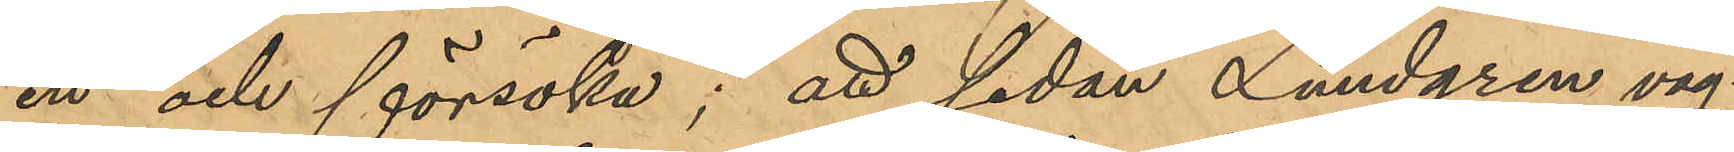in och försöka"; att sedan Lundgren väg¬
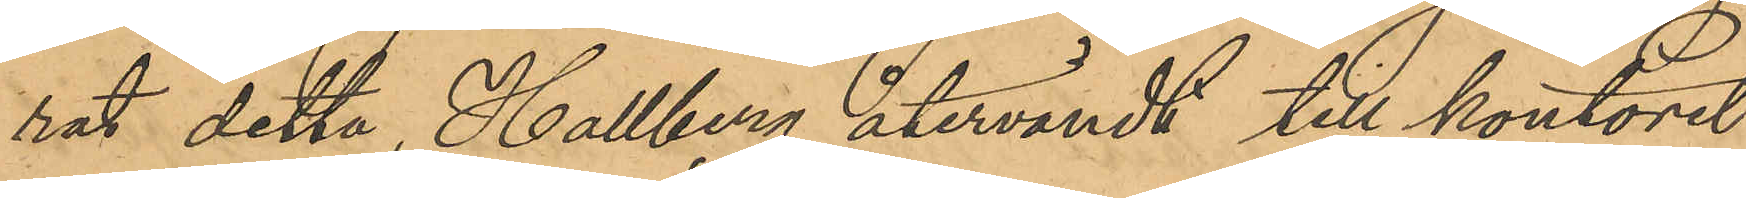rat detta, Hallberg återvändt till kontoret
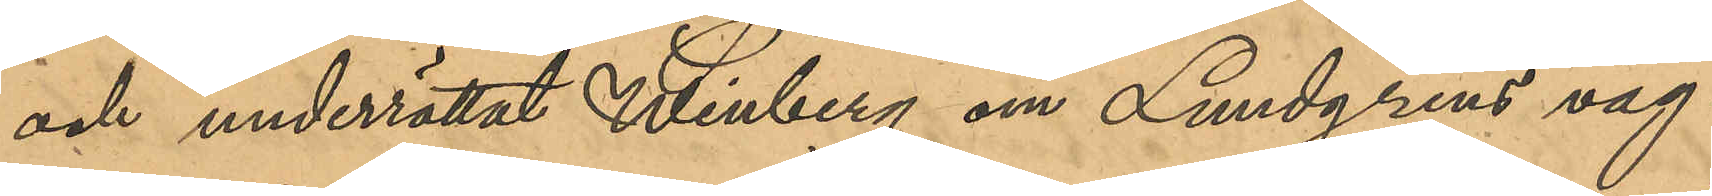och underrättat Winberg om Lundgrens väg¬
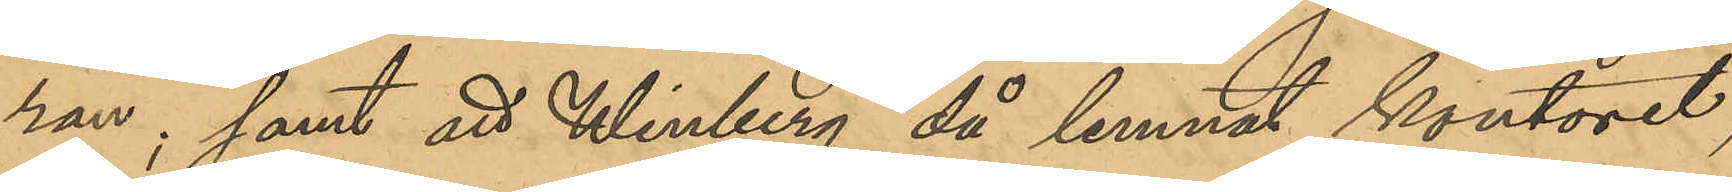ran; samt att Winberg då lemnat kontoret,
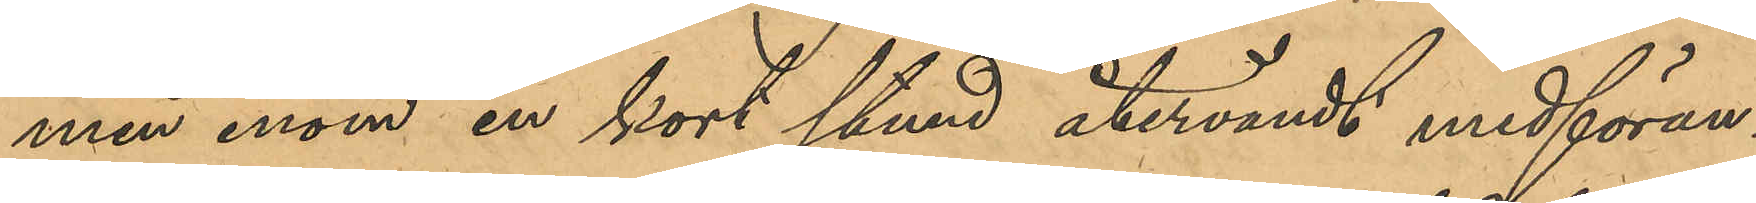men inom en kort stund återvändt medföran¬
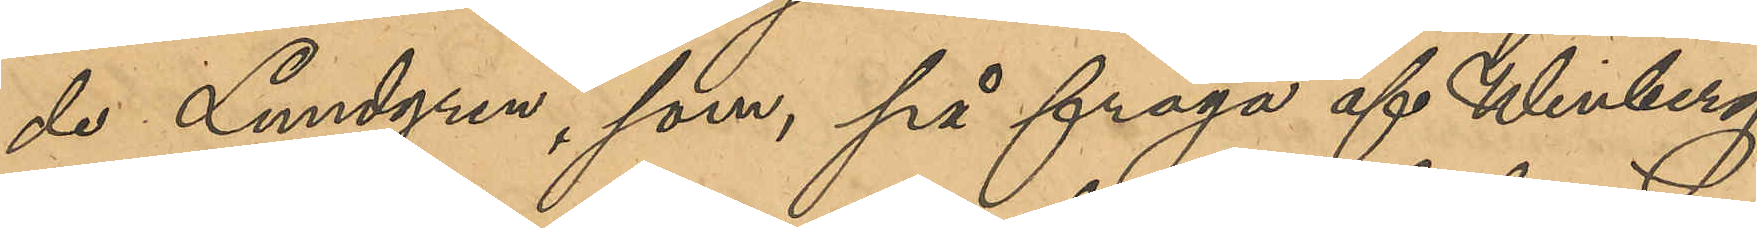de Lundgren, som, på fråga af Winberg
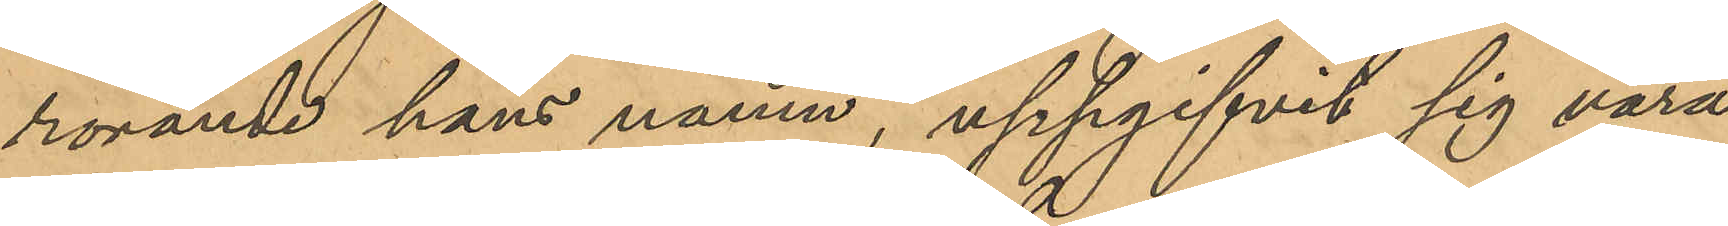rörande hans namn, uppgifvit sig vara
